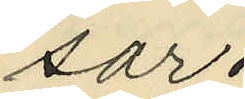sar.
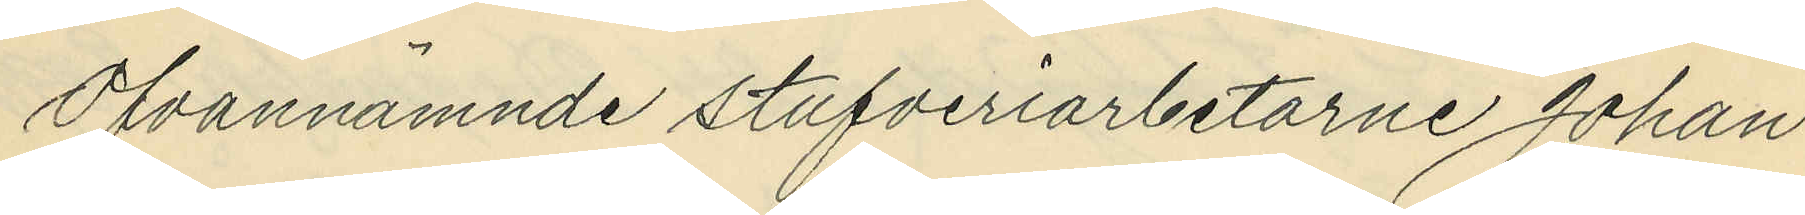Ofvannämnde stufveriarbetarne Johan
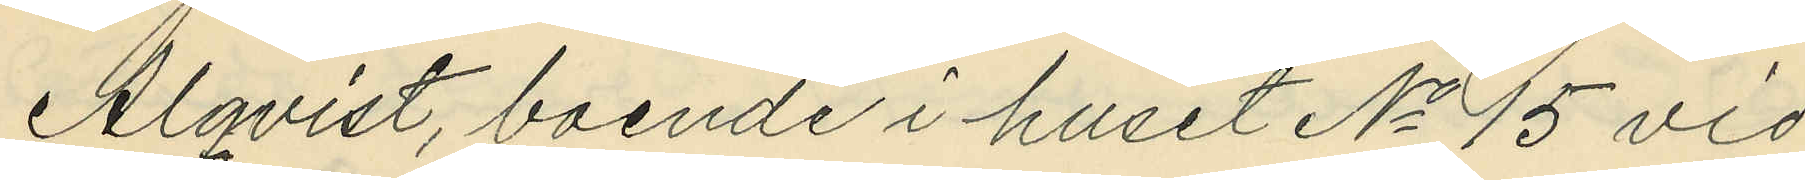Alqvist, boende i huset No 15 vid
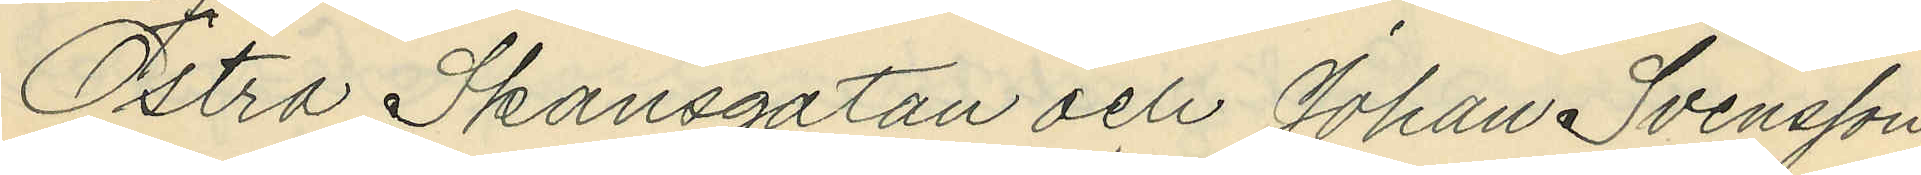Östra Skansgatan och Johan Svensson,
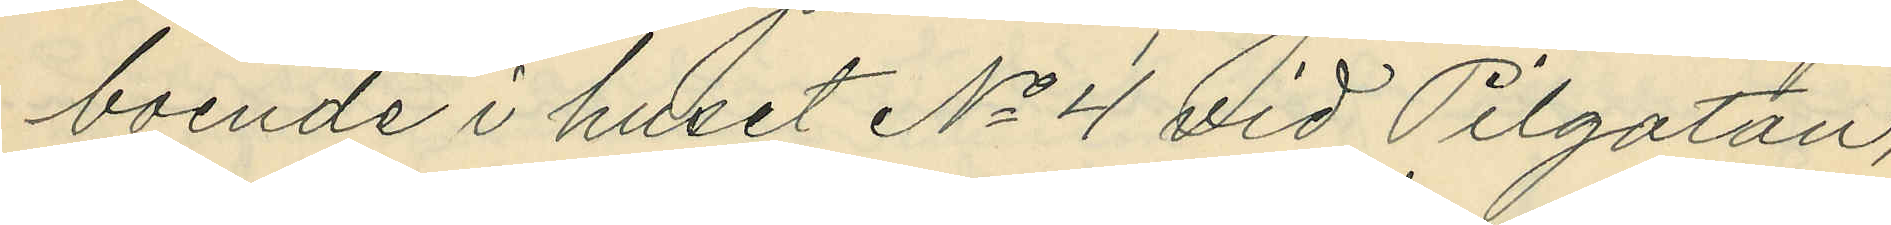boende i huset No 4 vid Pilgatan,
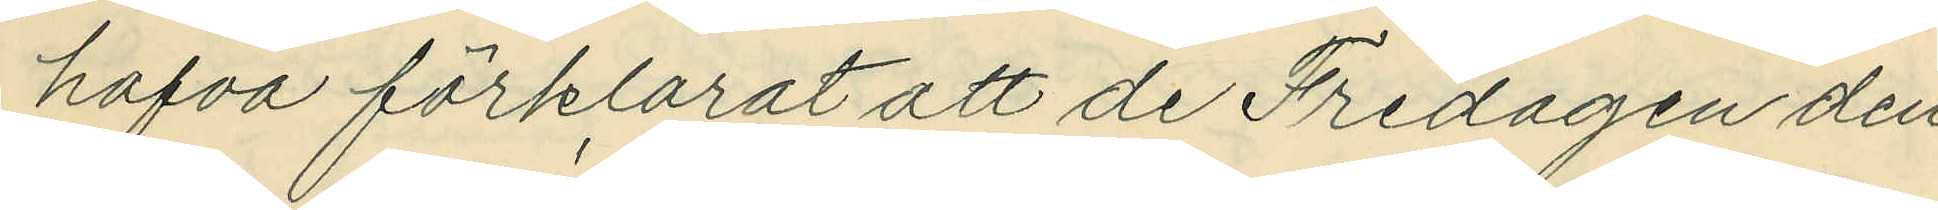hafva förklarat att de Fredagen den
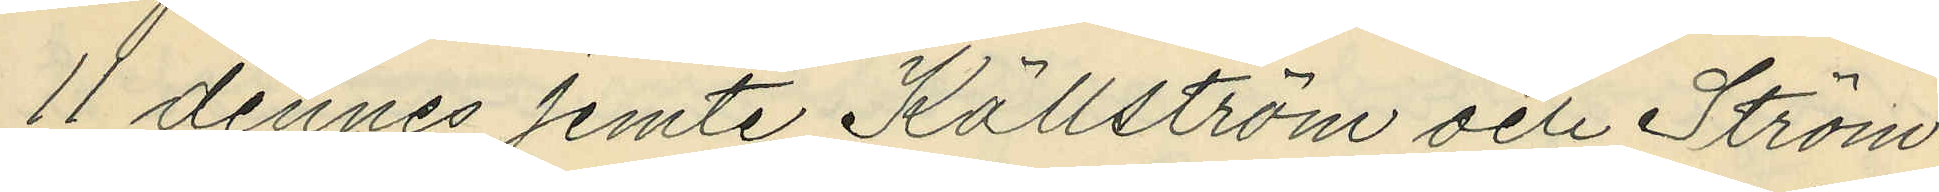11 dennes jemte Källström och Ström¬
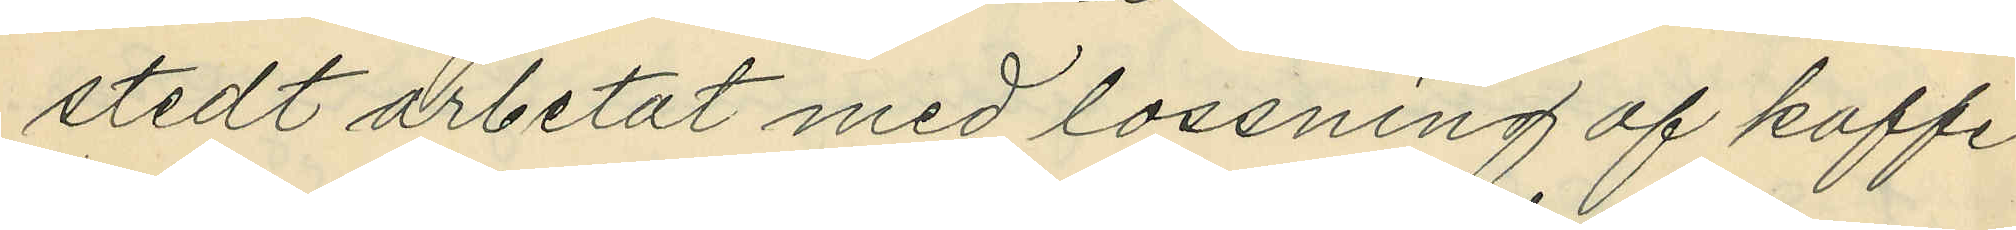stedt arbetat med lossning af kaffe
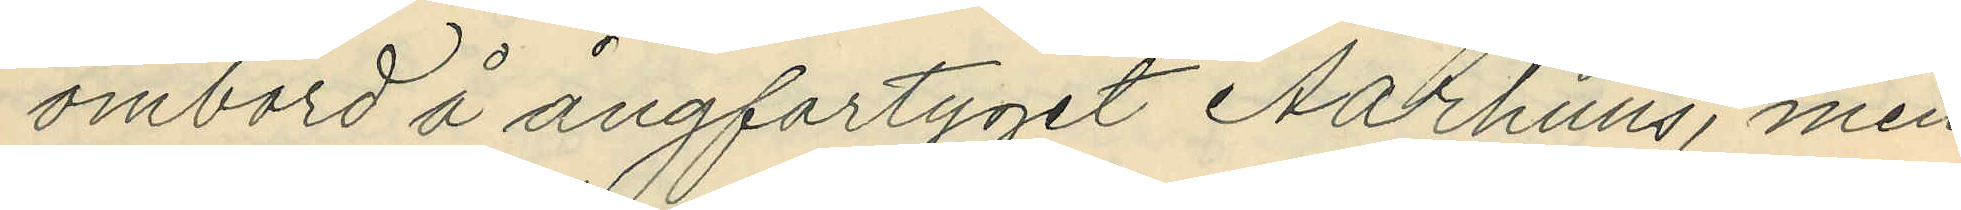ombord å ångfartyget Aarhuus, men
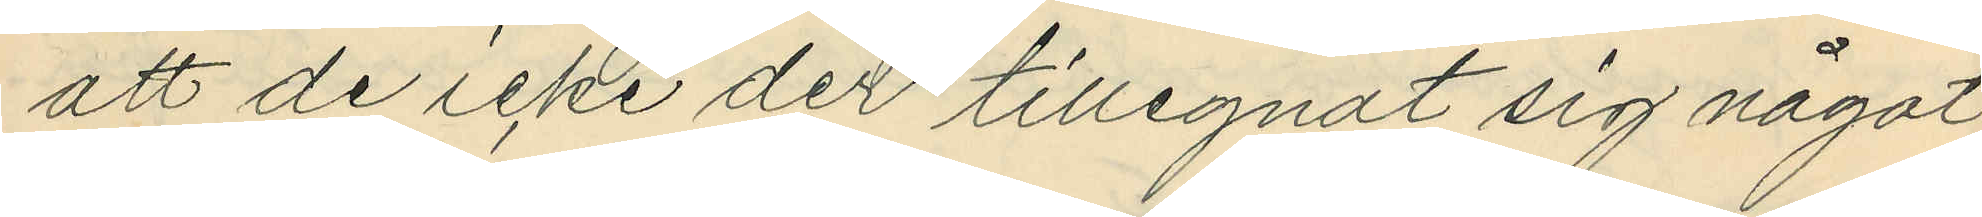att de icke der tillegnat sig något
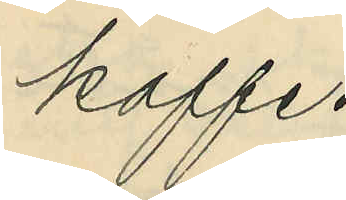kaffe.
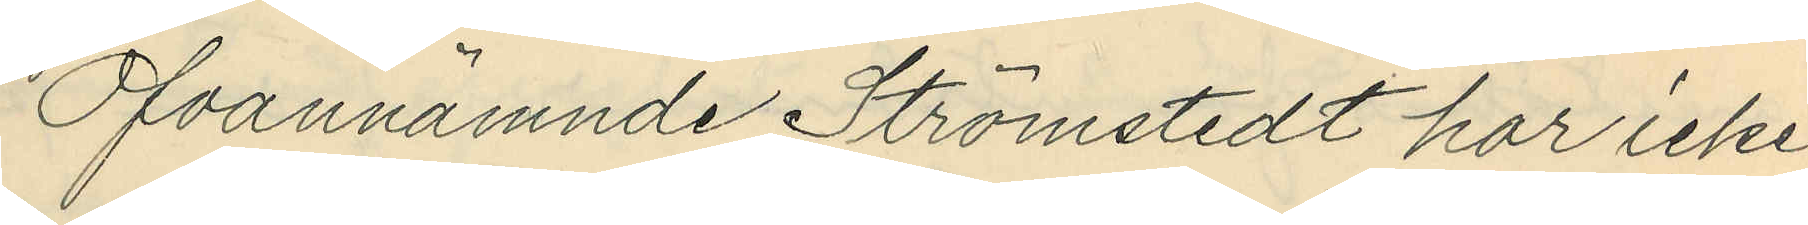Ofvannämnde Strömstedt har icke
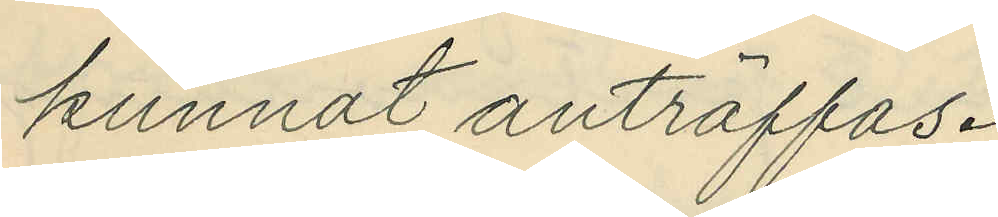kunnat anträffas.
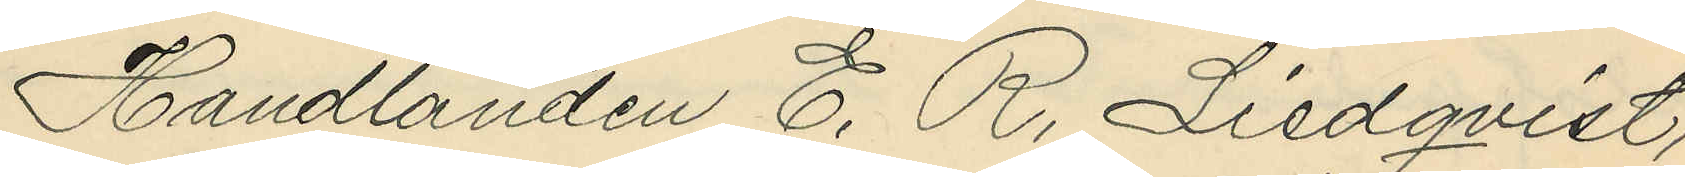Handlanden E. R. Liedqvist,
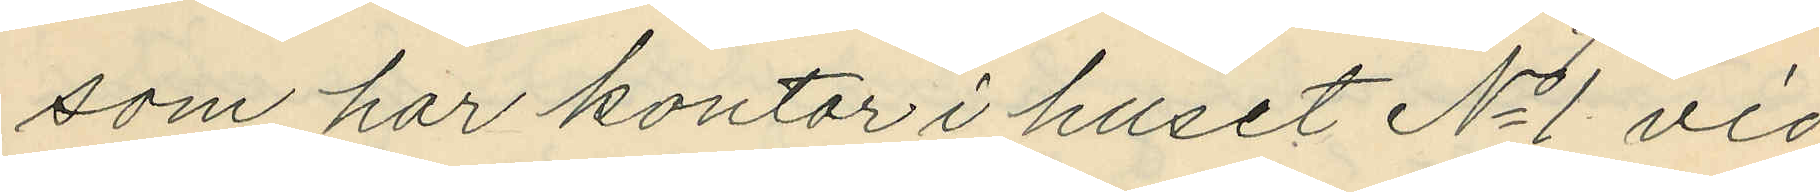som har kontor i huset No 1 vid
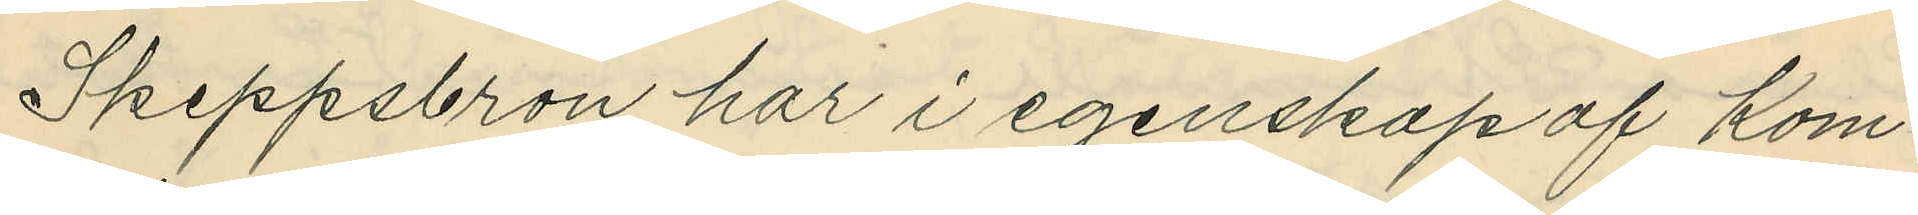Skeppsbron har i egenskap af Kom¬
